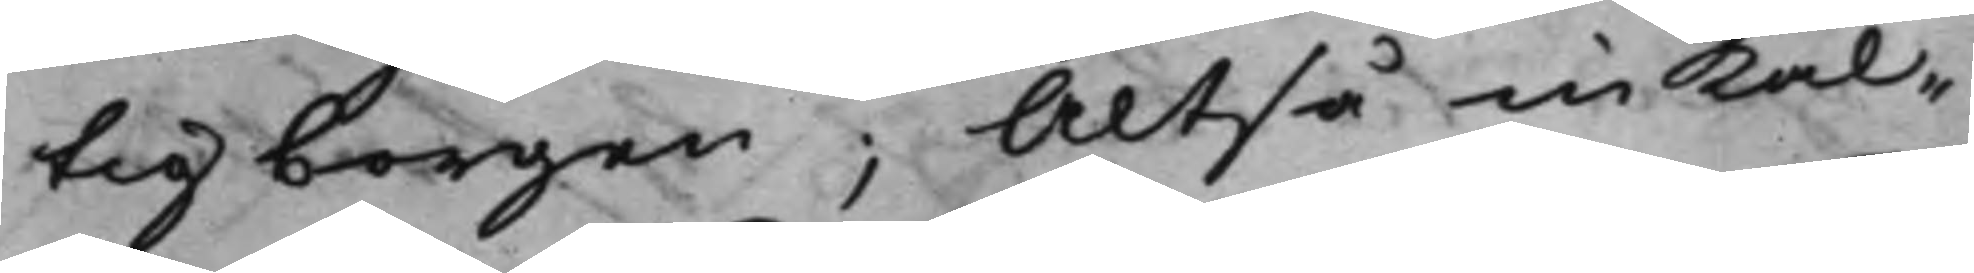tig borgen; Altså inkal¬
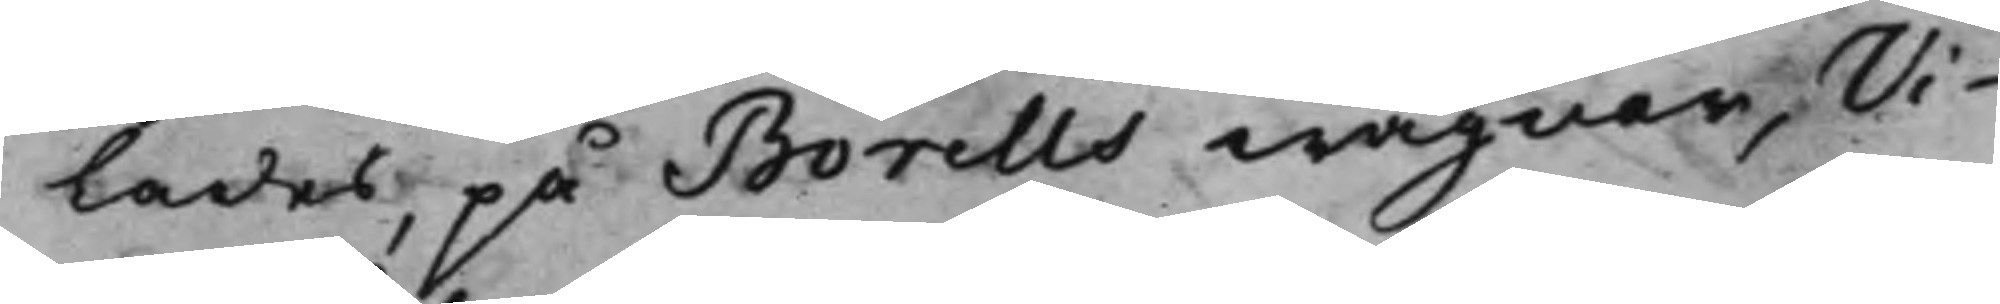lades, på Borells wägnar, Vi¬
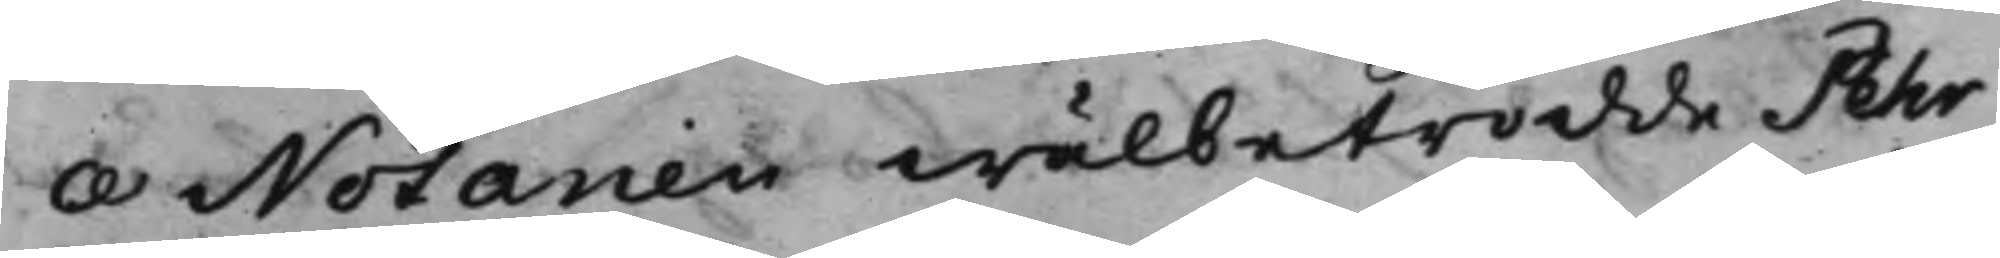ce Notarien wälbetrodde Pehr
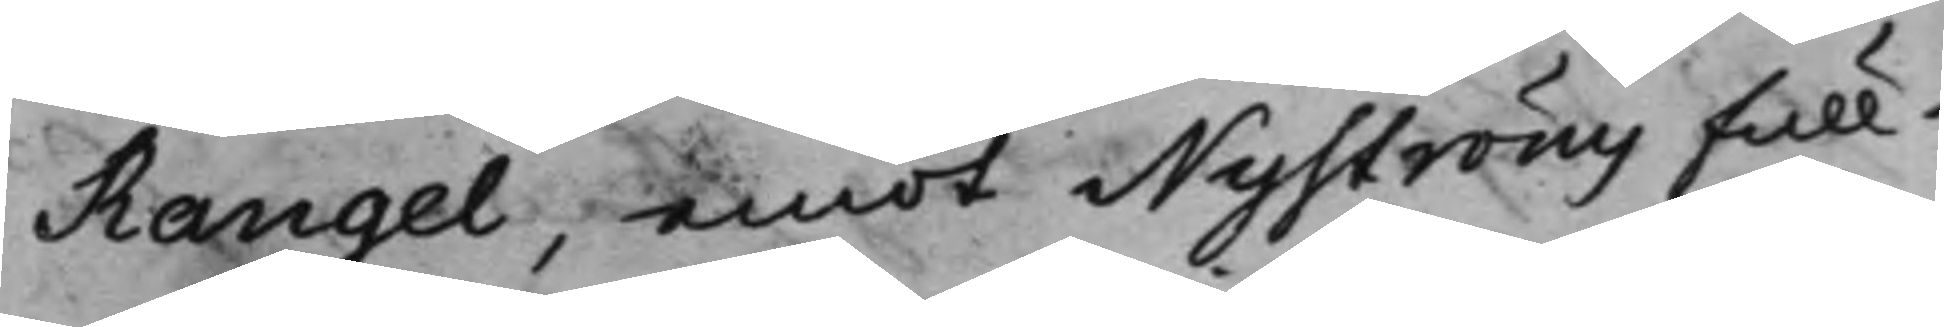Rangel, emot Nyströms full¬
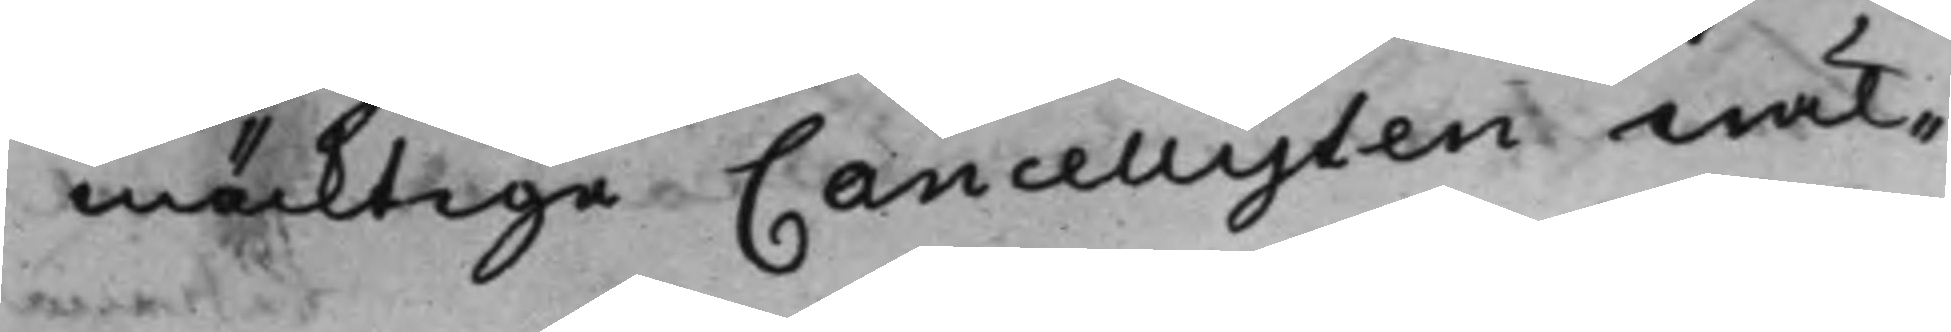mäcktige Cancellisten wäl¬
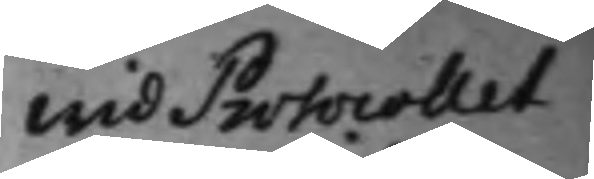Wid Protocollet
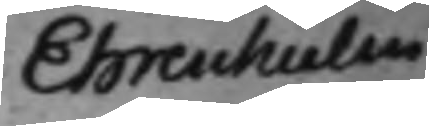Ehrenhielm
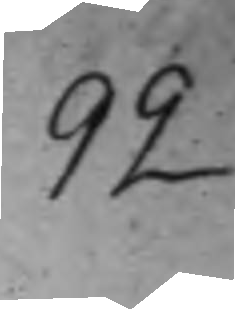92
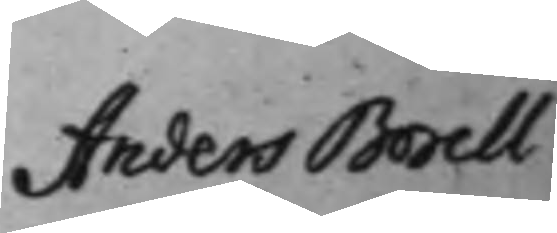Anders Borell
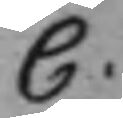C.
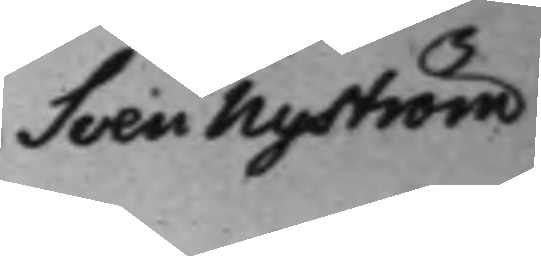Sven Nyström
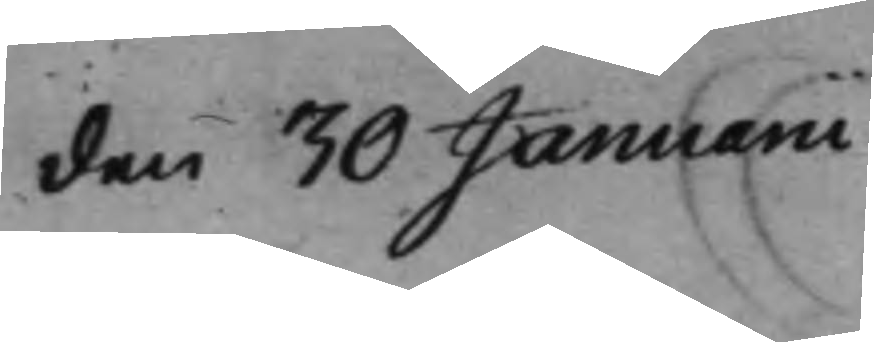den 30 Januarii
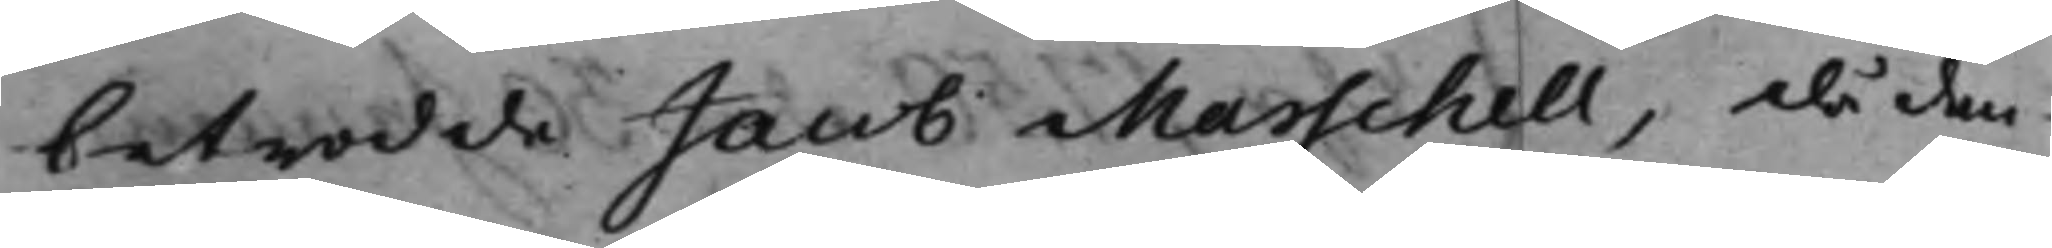betrodde Jacob Marschell, då den¬
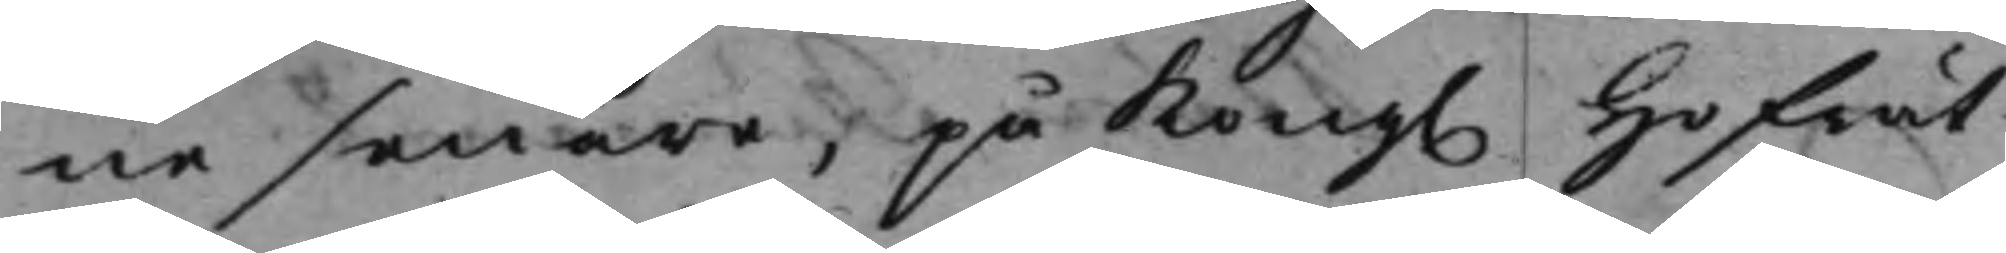ne senare, på Kong. Hofrät¬
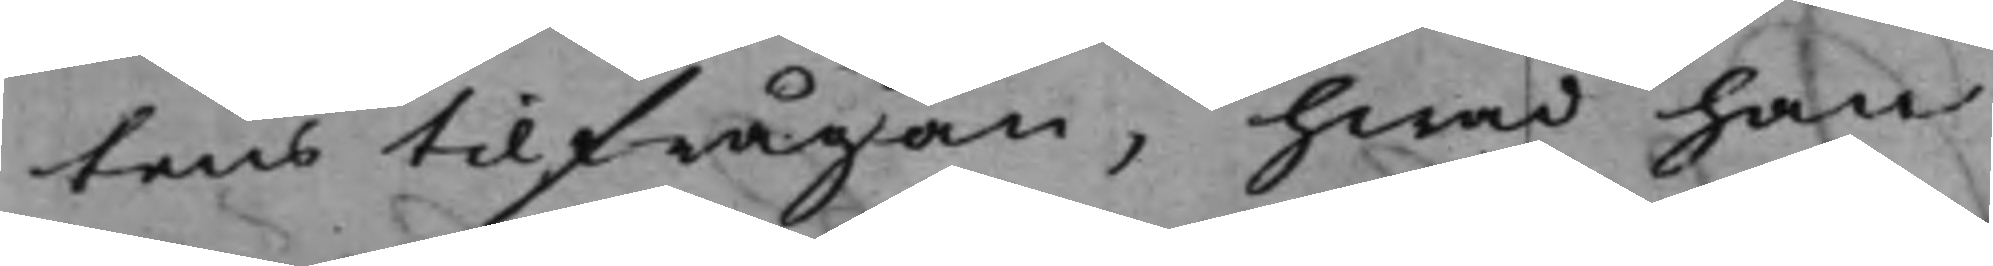tens tillfrågan, hwad han
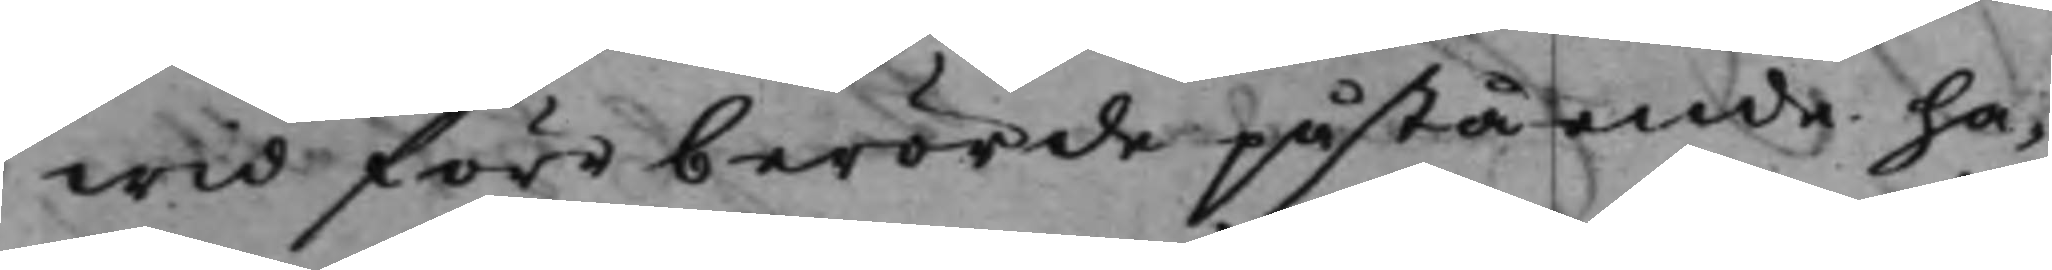wid förr berörde påstående ha¬
